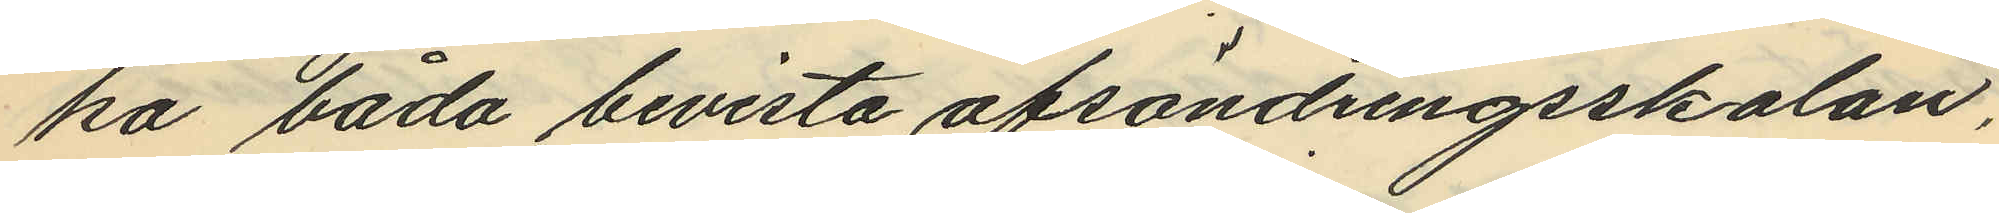ka båda bevista afsöndringsskolan,
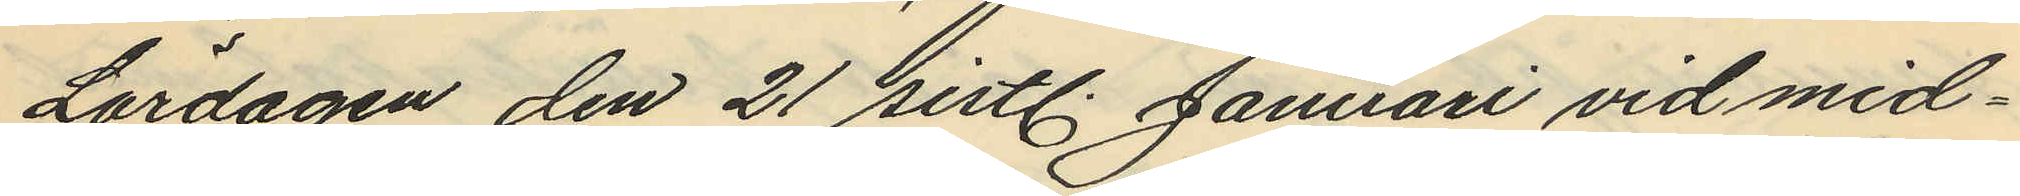Lördagen den 21 sistl. Januari vid mid¬
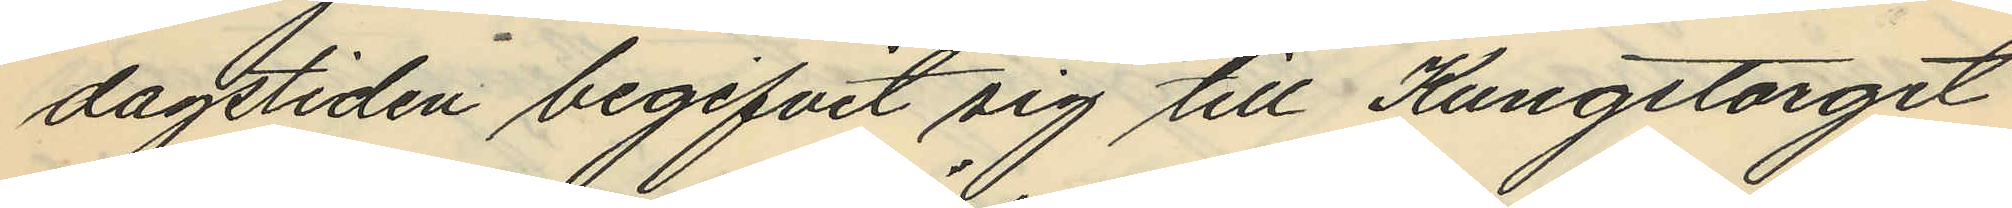dagstiden begifvit sig till Kungstorget
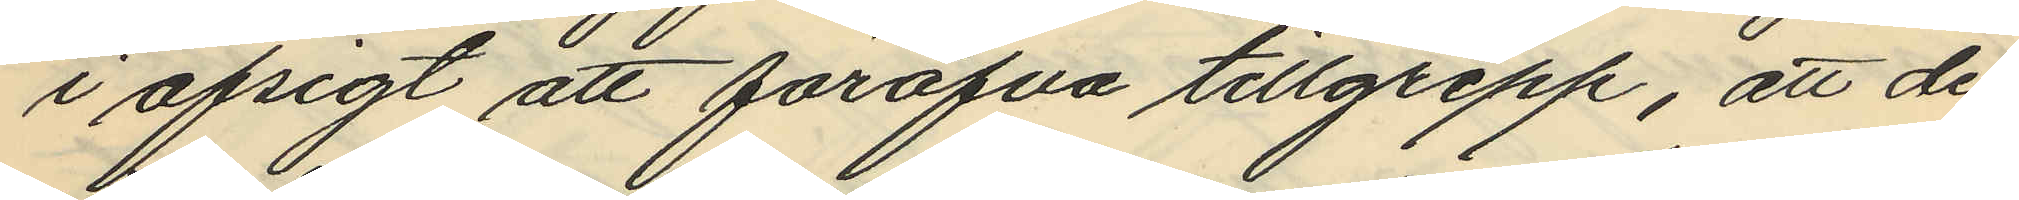i afsigt att föröfva tillgrepp, att de
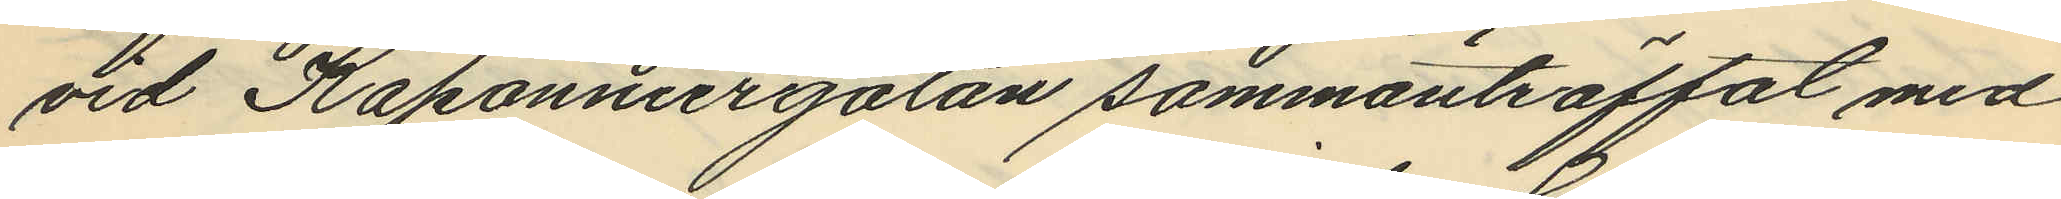vid Kaponniergatan sammanträffat med
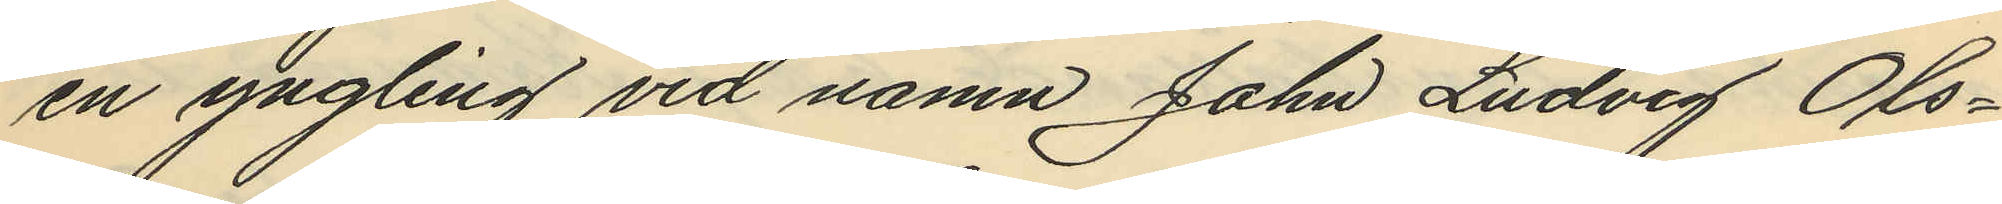en yngling vid namn John Ludvig Ols¬
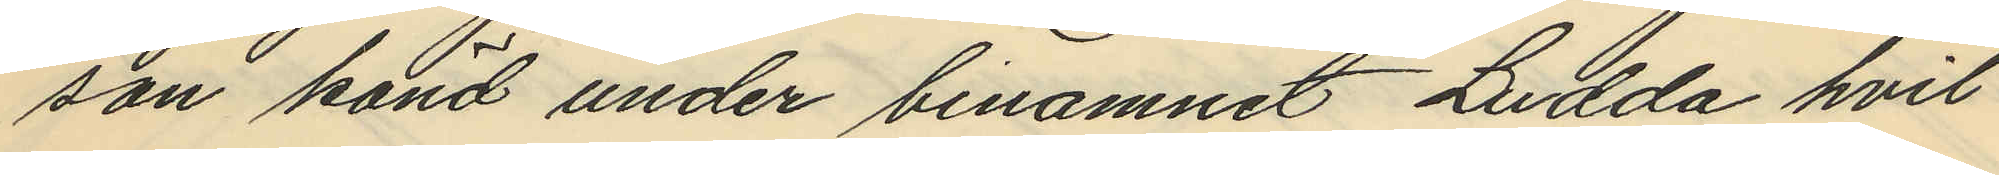son känd under binamnet Ludda hvil¬
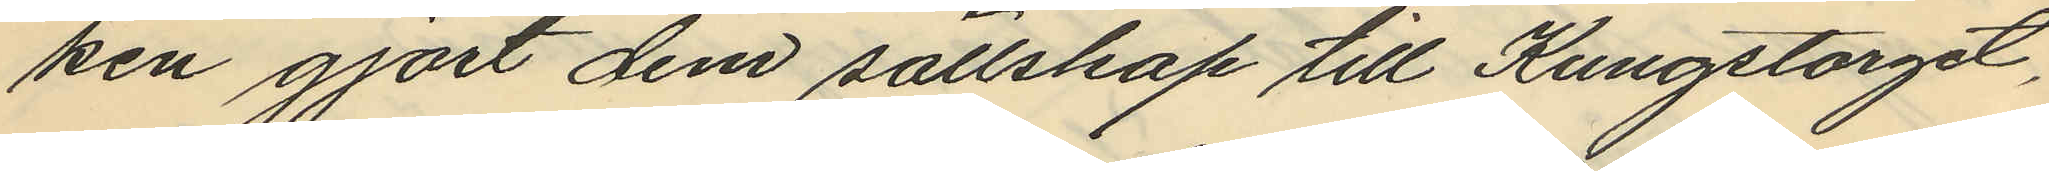ken gjort dem sällskap till Kungstorget,
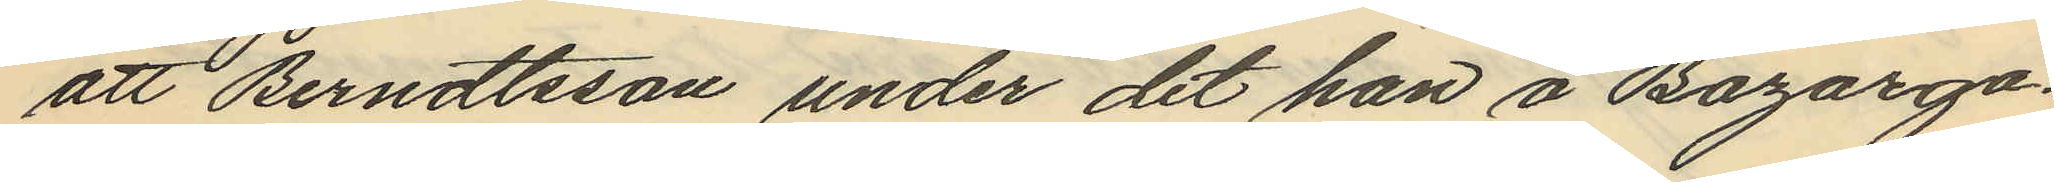att Berndtsson under det han å Bazarga¬
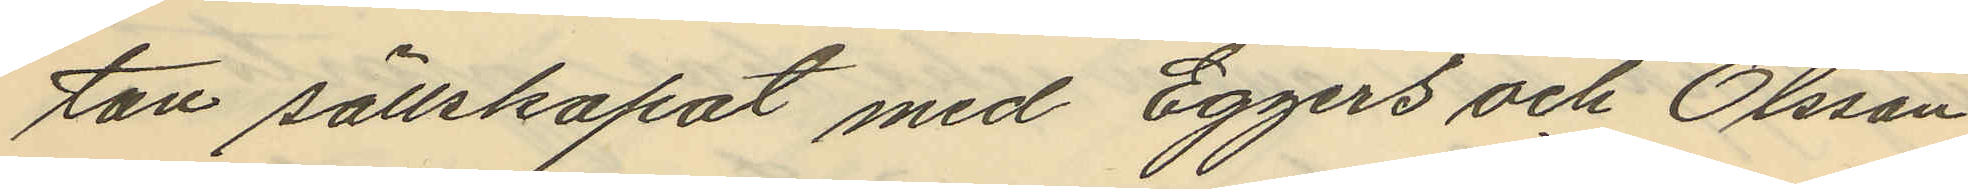tan sällskapat med Eggers och Olsson
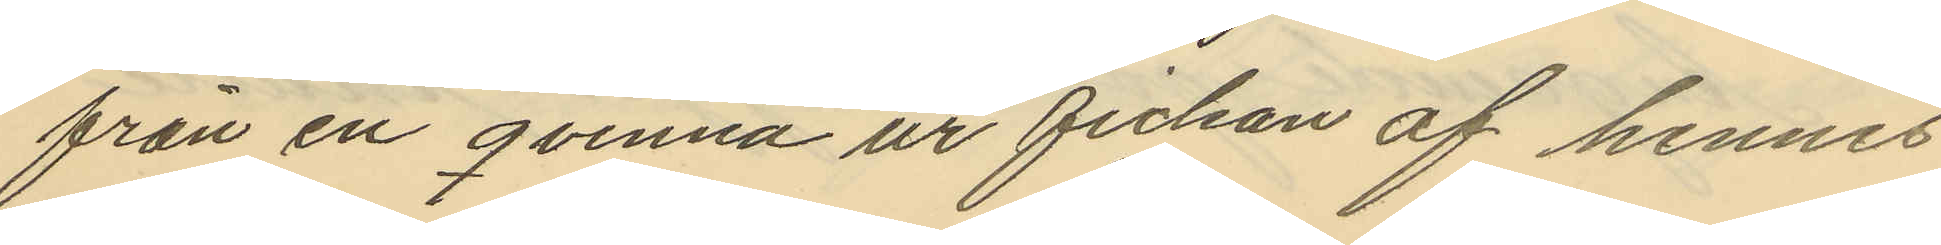från en qvinna ur fickan af hennes
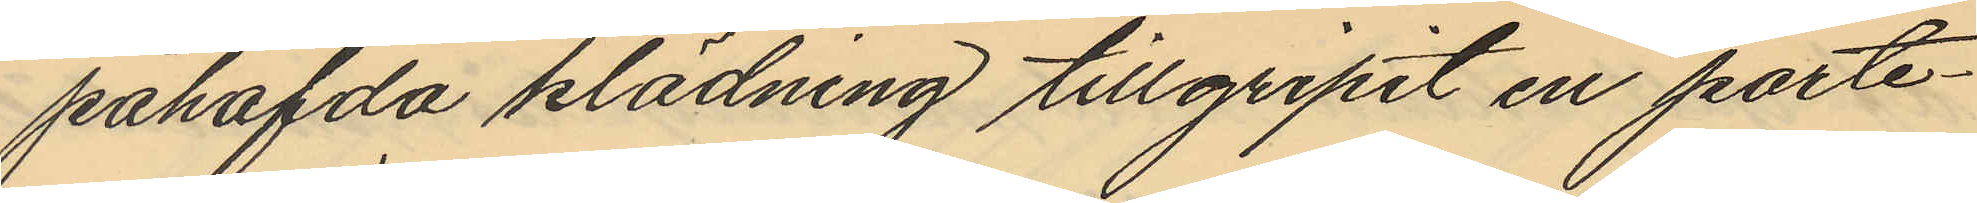påhafvda klädning tillgripit en porte¬
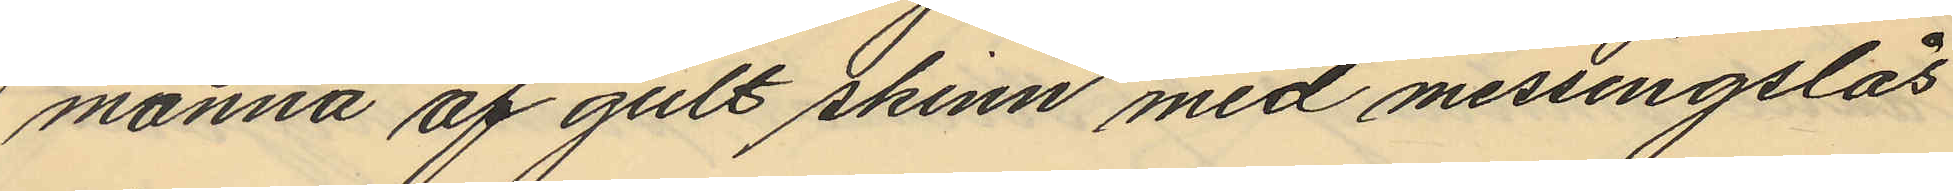monnä af gult skinn med messingslås
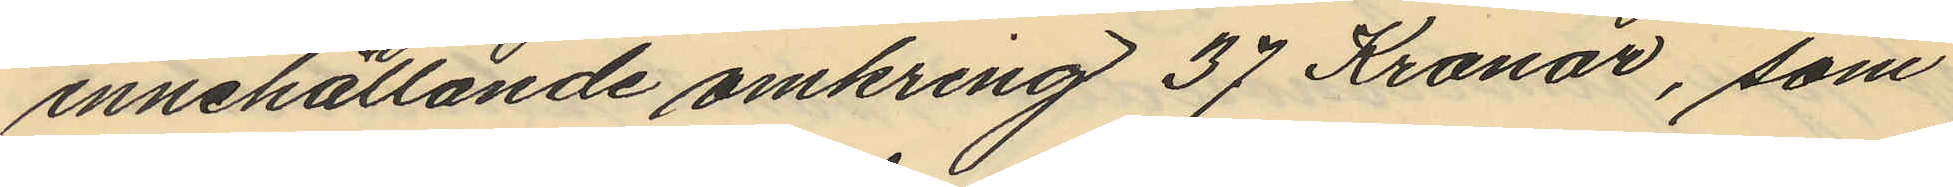innehållande omkring 37 Kronor, som
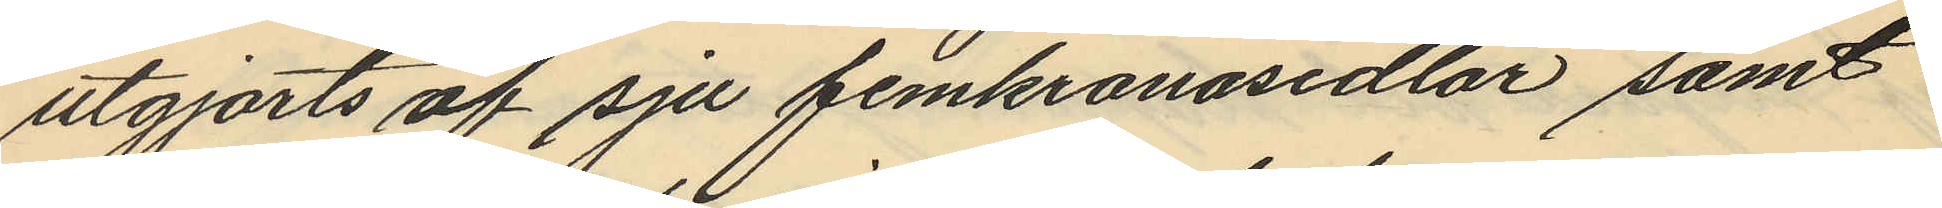utgjorts af sju femkronosedlar samt
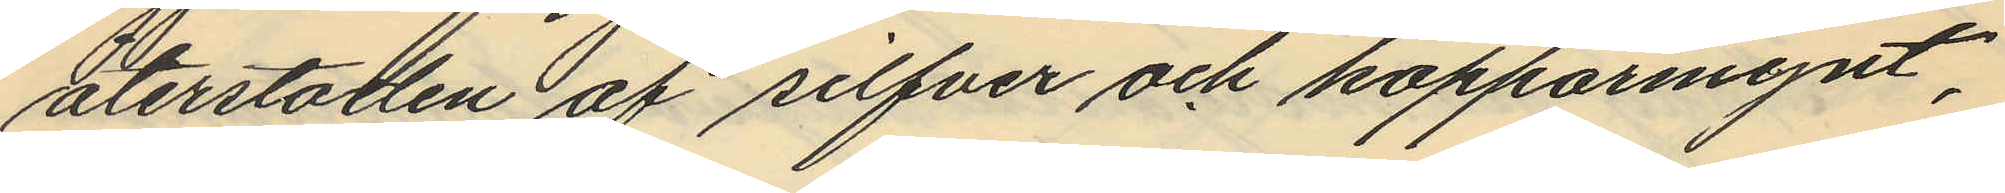återstoden af silfver och kopparmynt,
